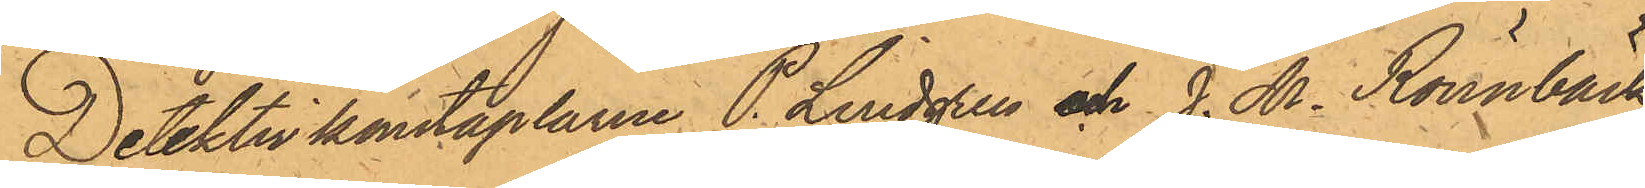Detektivkonstaplarne P. Lindgren och J. M. Rönnbäck
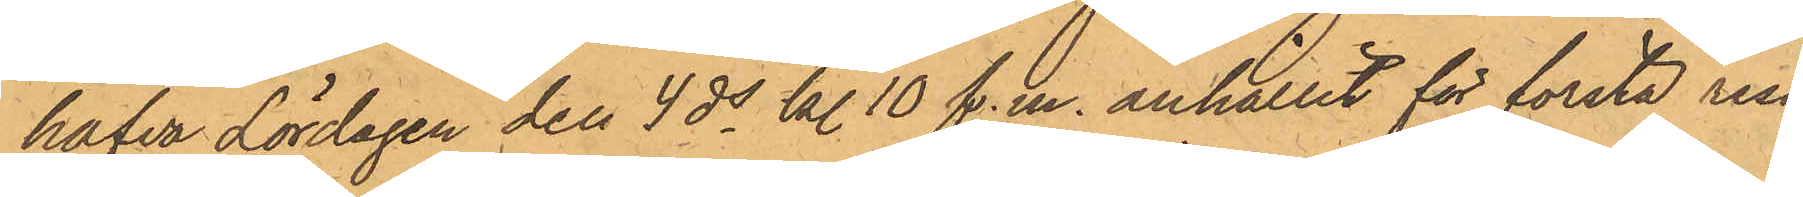hafva Lördagen den 4 ds kl. 10 f.m. anhållit för första resan
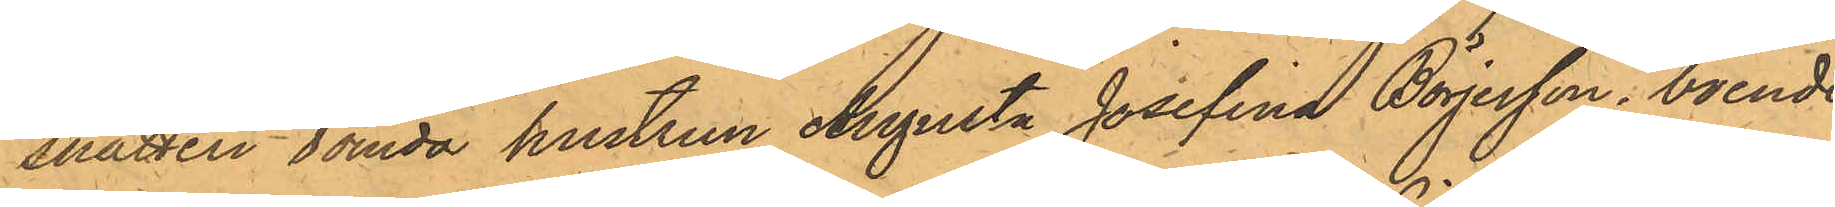snatteri dömda hustrun Augusta Josefina Börjesson, boende
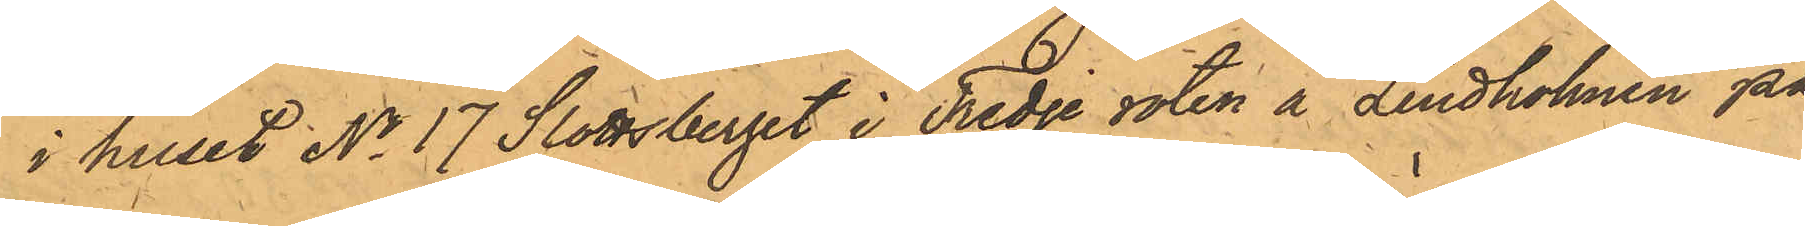i huset No 17 Slottsberget i Tredje roten å Lindholmen på
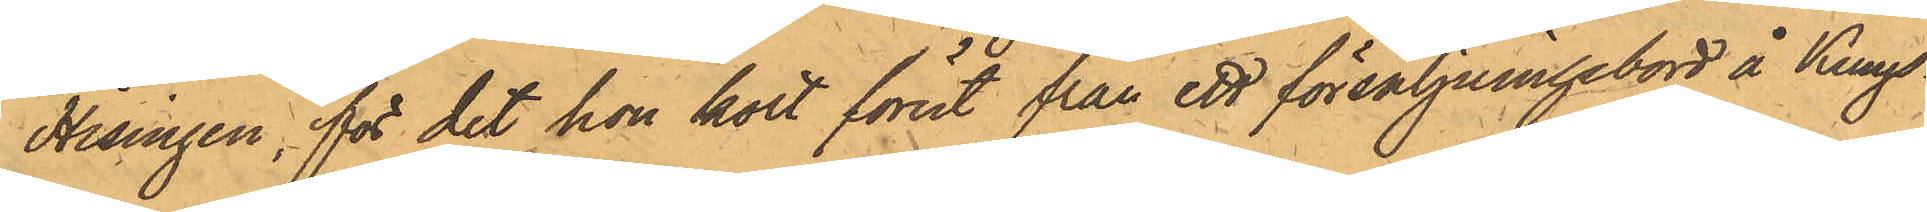Hisingen, för det hon kort förut från ett försäljningsbord å Kungs¬
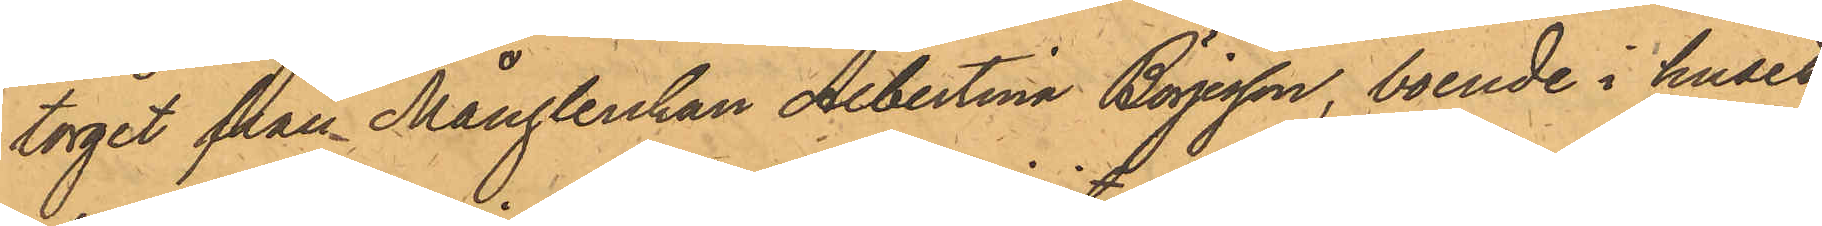torget från Månglerskan Albertina Börjesson, boende i huset
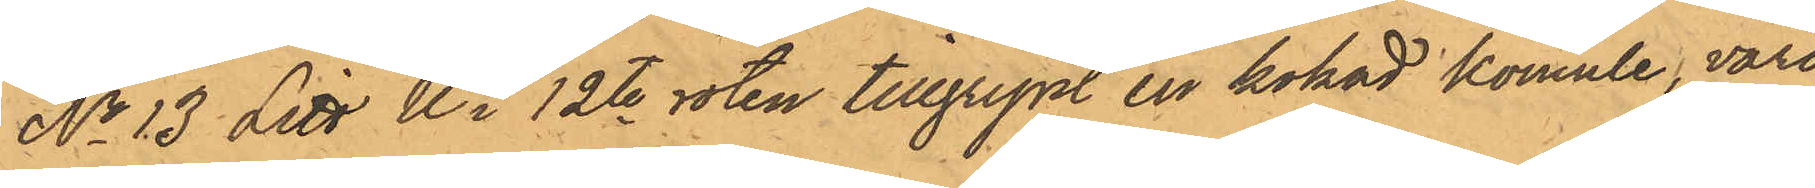No 13 Litt U i 12te roten tillgripit en kokad komule, värd
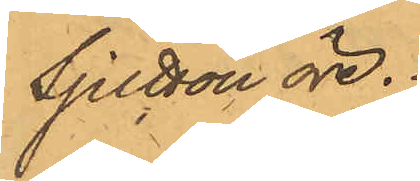Sjutton öre.
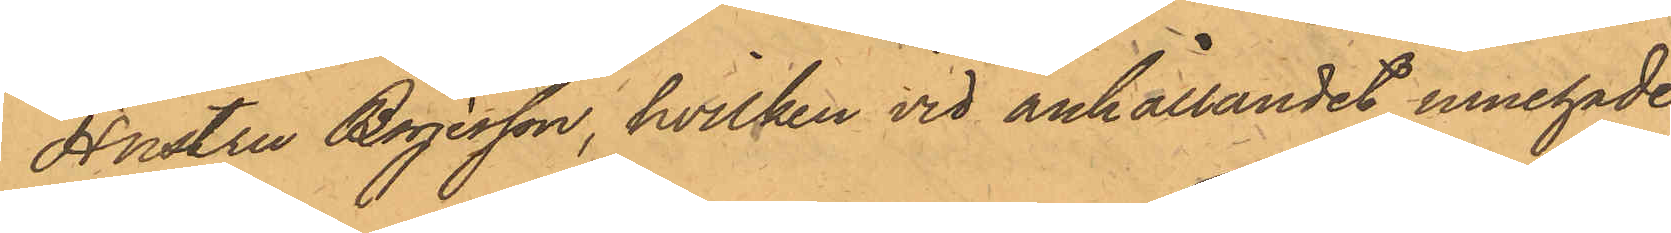Hustru Börjesson, hvilken vid anhållandet innehade
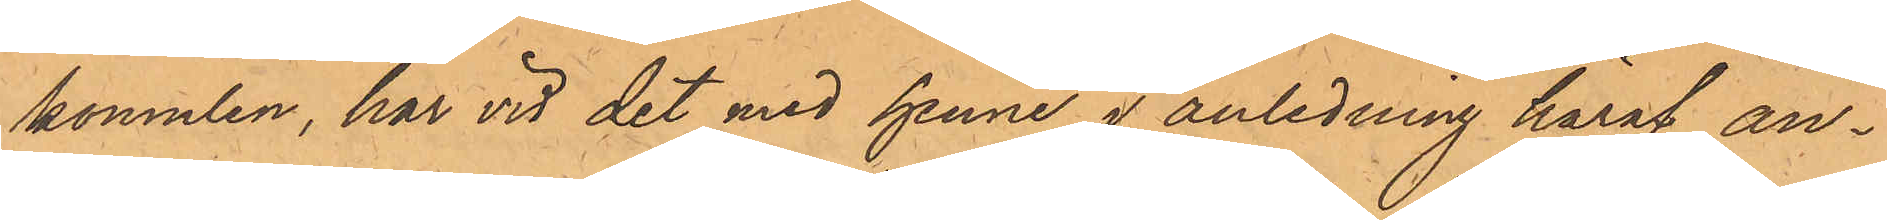komulen, har vid det med henne i anledning häraf an¬
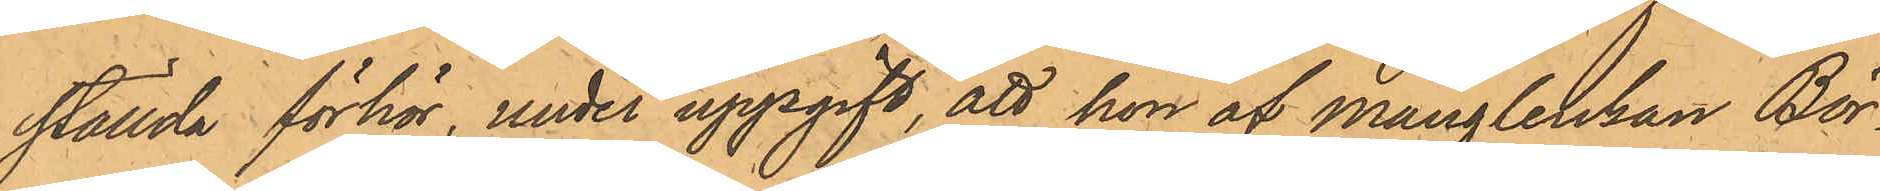ställda förhör, under uppgift, att hon af Månglerskan Bör¬
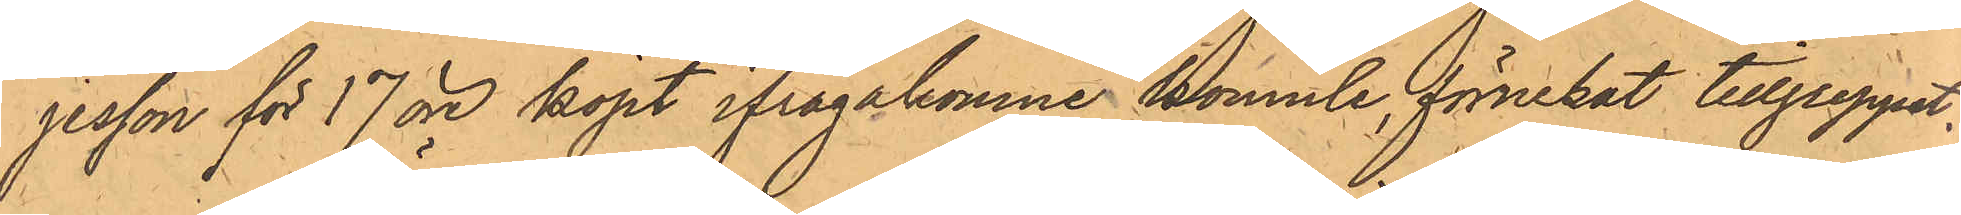jesson för 17 öre köpt ifrågakomne komule, förnekat tillgreppet,
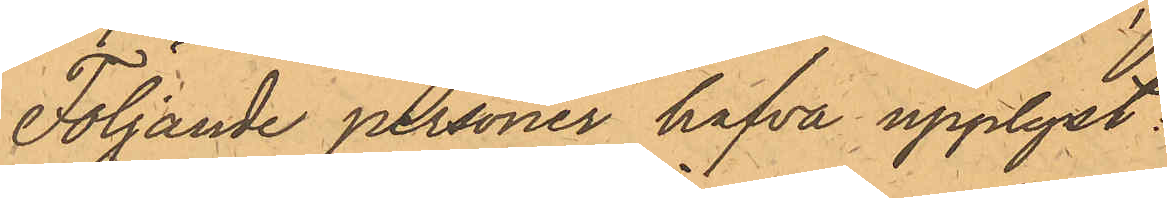Följande personer hafva upplyst:
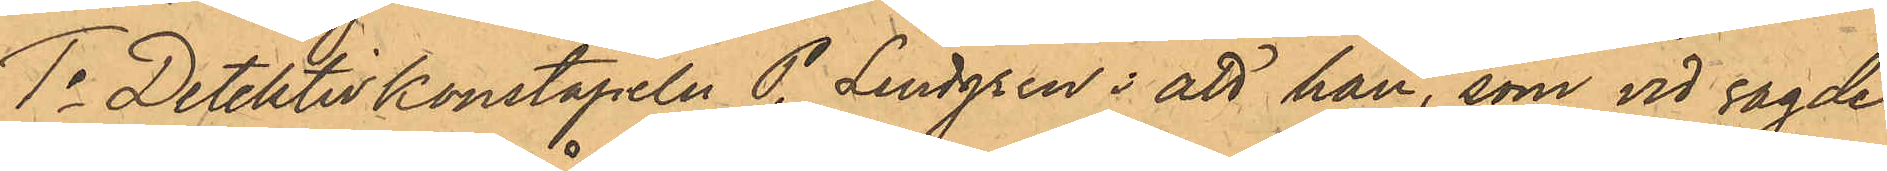1o Detektivkonstapeln P. Lindgren; att han, som vid sagde
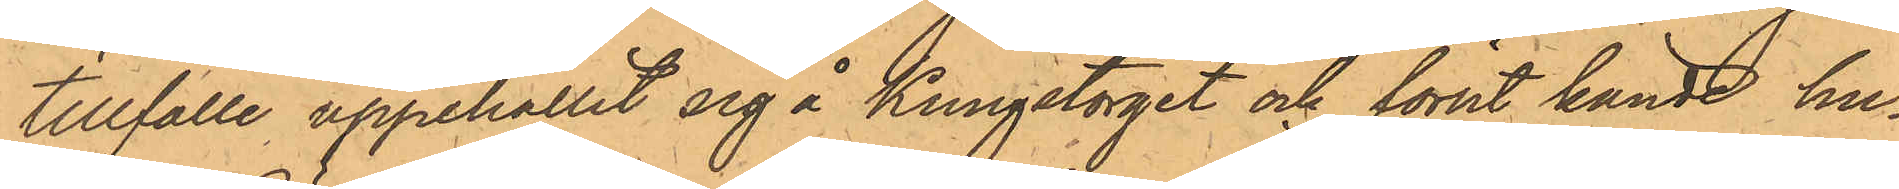tillfälle uppehållit sig å Kungstorget och förut kände hu¬
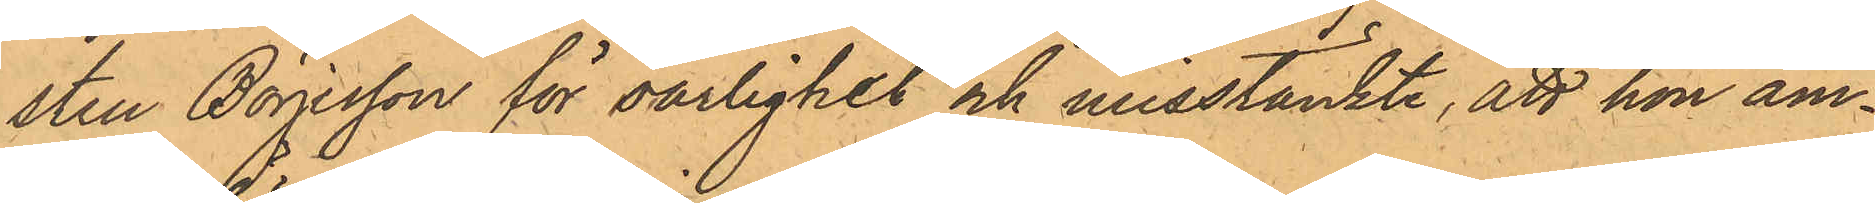stru Börjesson för oarlighet och misstänkte, att hon äm¬
